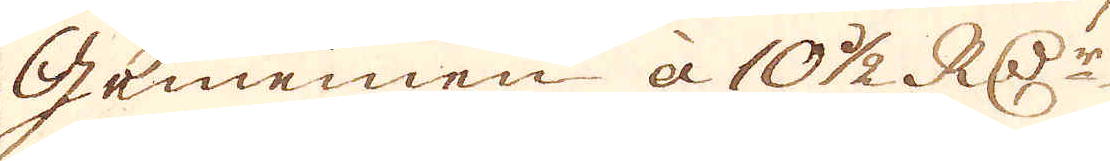Gememen à 10 1/2 RD:r
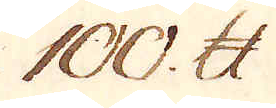100. skålpund.
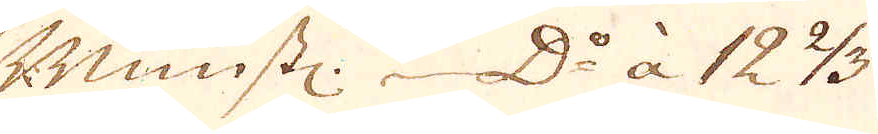Mimstl. D:o à 12 2/3.
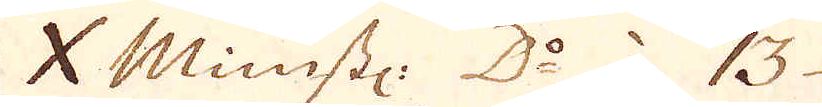X Mimstl: D:o: 13.
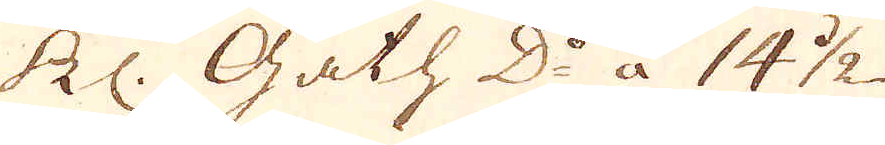Kl: Gath D:o à 14 1/2
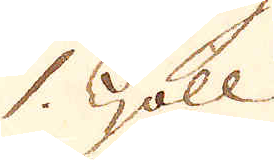1. Goll
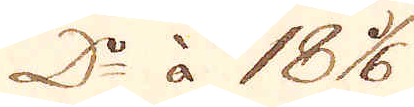D:o à 18 1/6.
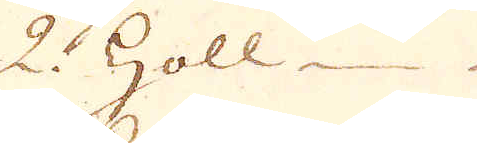2. Holl
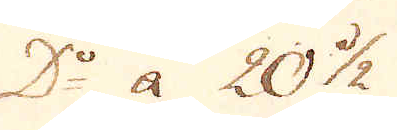D:o àa 20 1/2
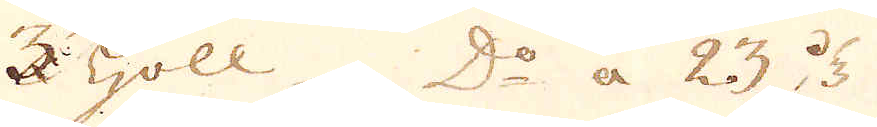3 Holl D:o à 23 1/3
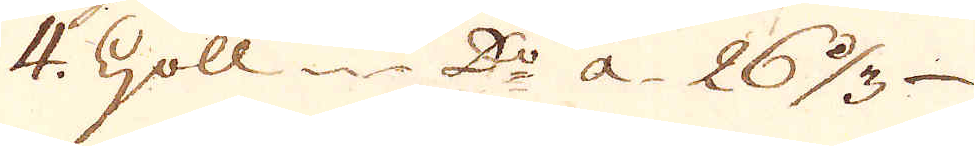4. Holl D:o a 26 1/3
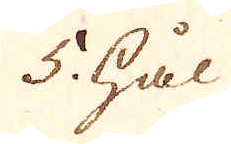5 hål
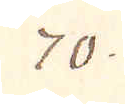70.
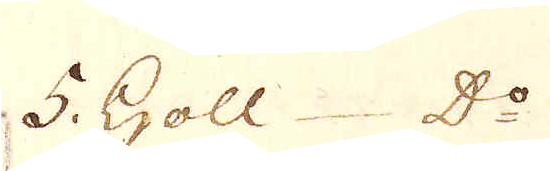5. Holl: D:o
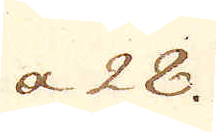a 28.
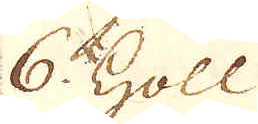6 Holl
